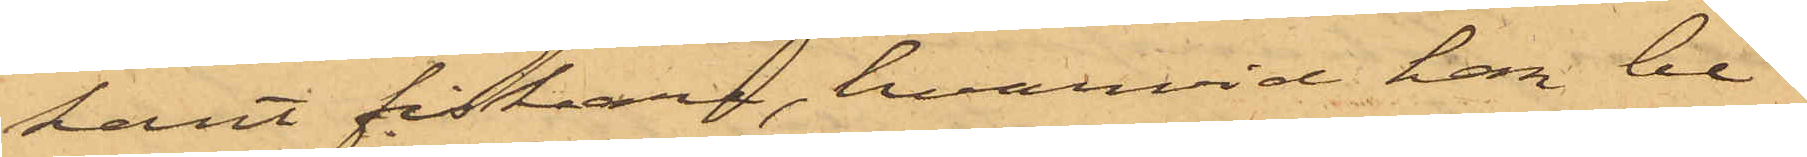kant fiskare, hvarvid han be¬
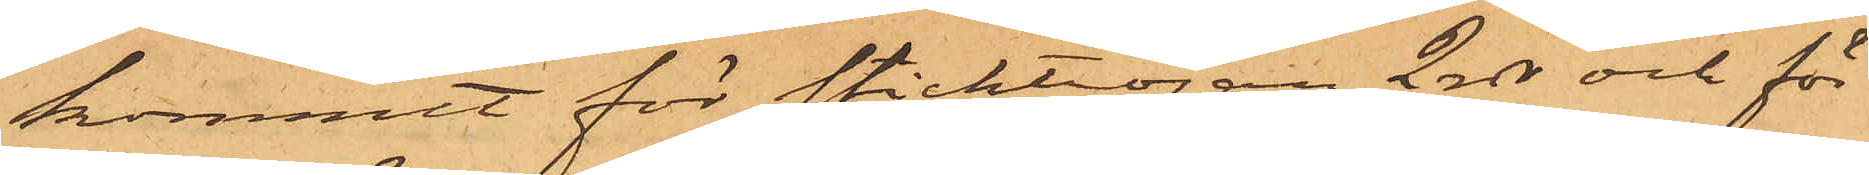kommit för sticktröjan 2 rdr och för
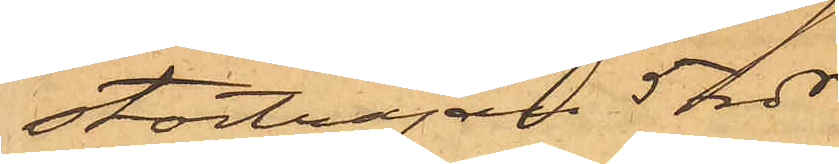stortröjan 5 rdr.
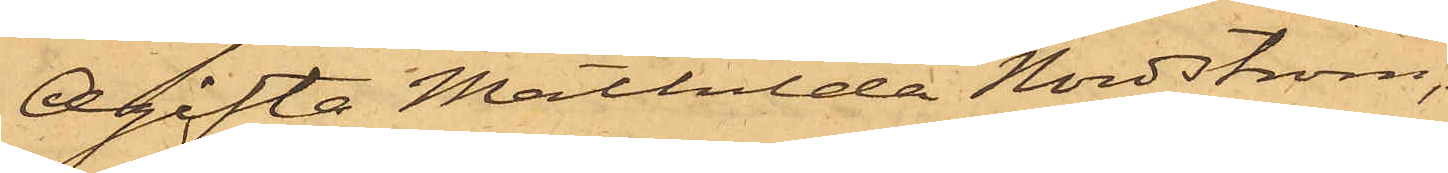Ogifta Mathilda Nordström,
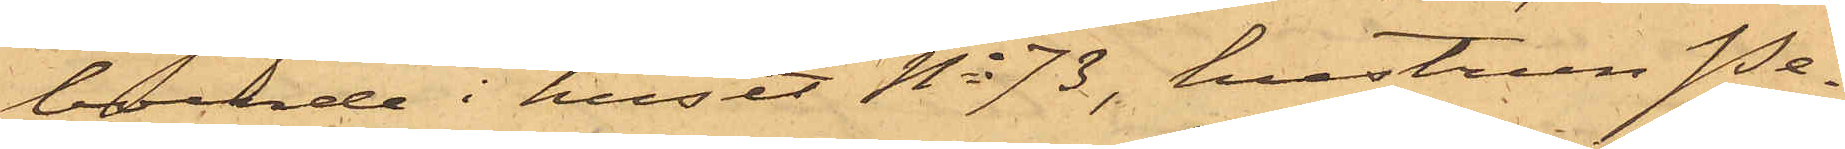boende i huset No 73, hustrun Pe¬
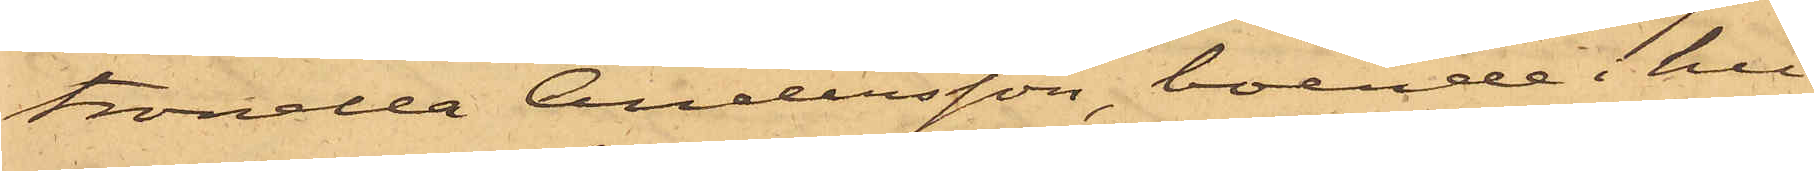tronella Andersson, boende i hu¬
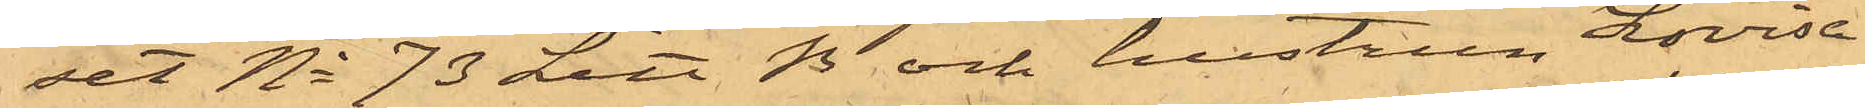set No 73 Litt. B och hustrun Lovisa
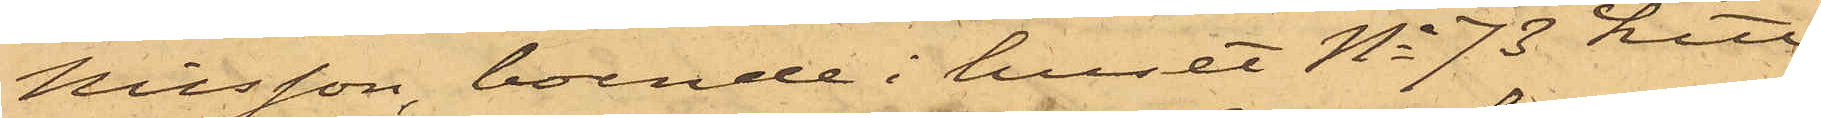Nilsson, boende i huset No 73 Litt
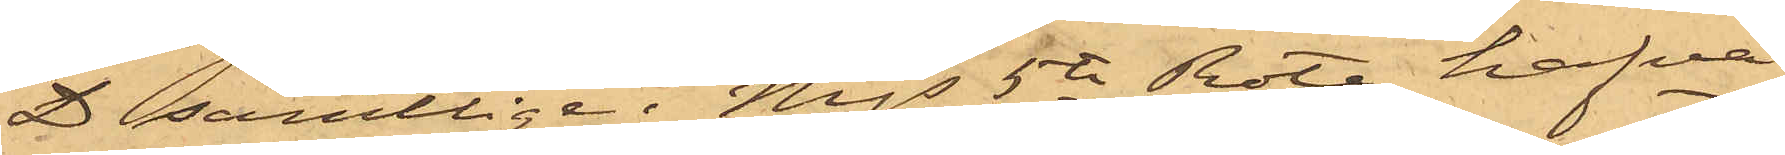D samtlige i Mjs 5te Rote, hafva
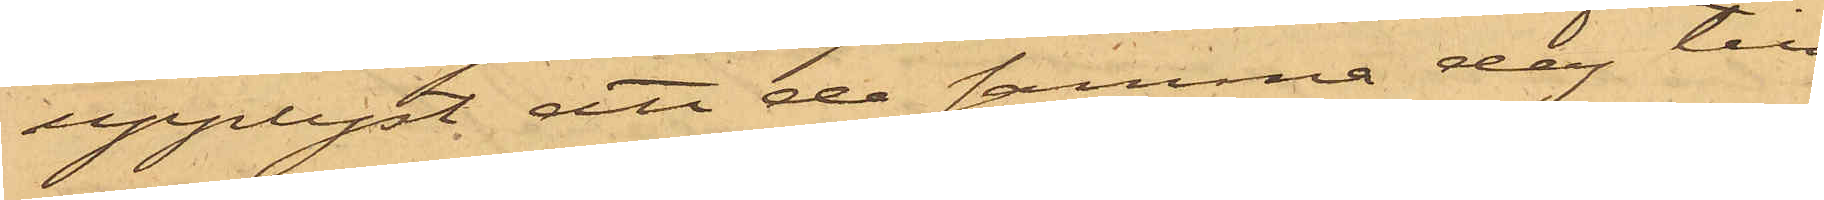upplyst, att de samma dag till¬
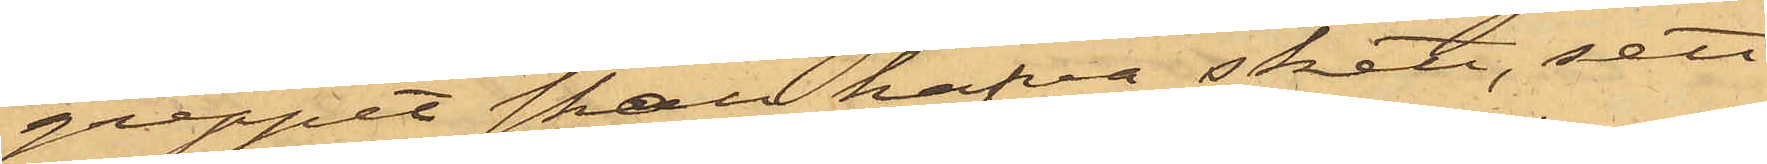greppet skall hafva skett, sett
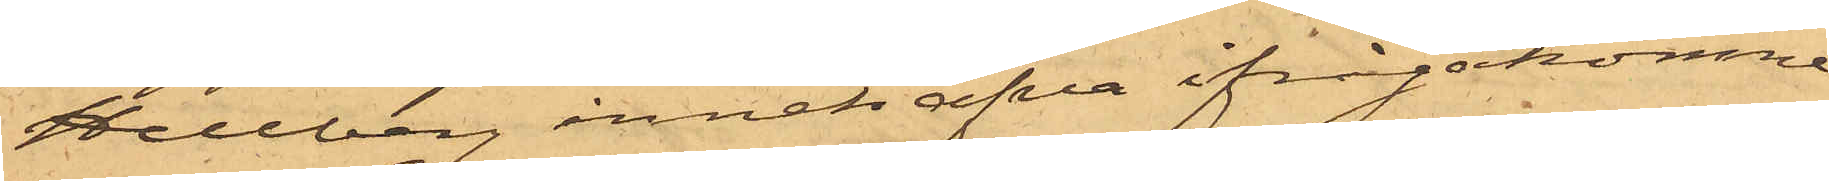Hellberg innehafva ifrågakomne
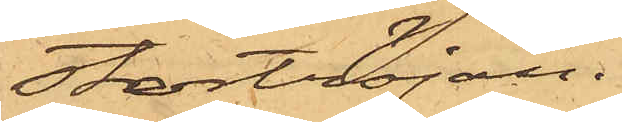Stortröjan.
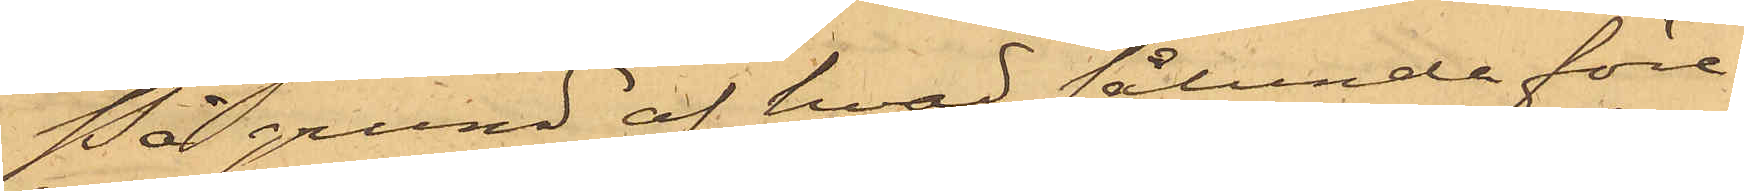På grund af hvad sålunda före¬
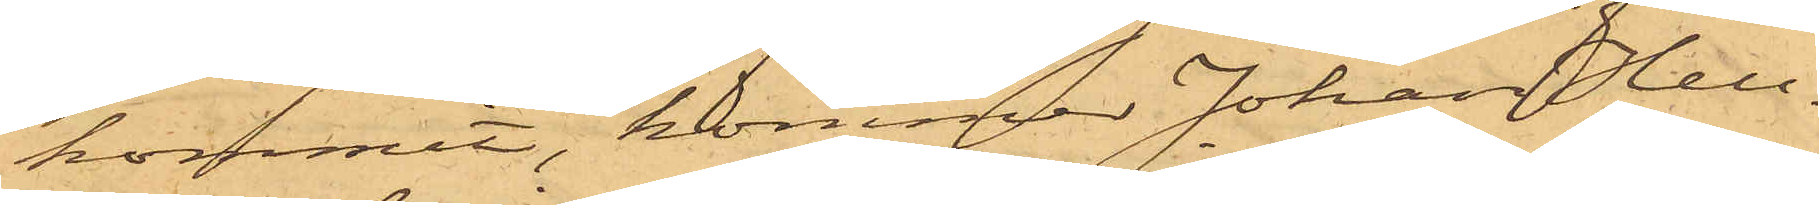kommit, kommer Johan Hell¬
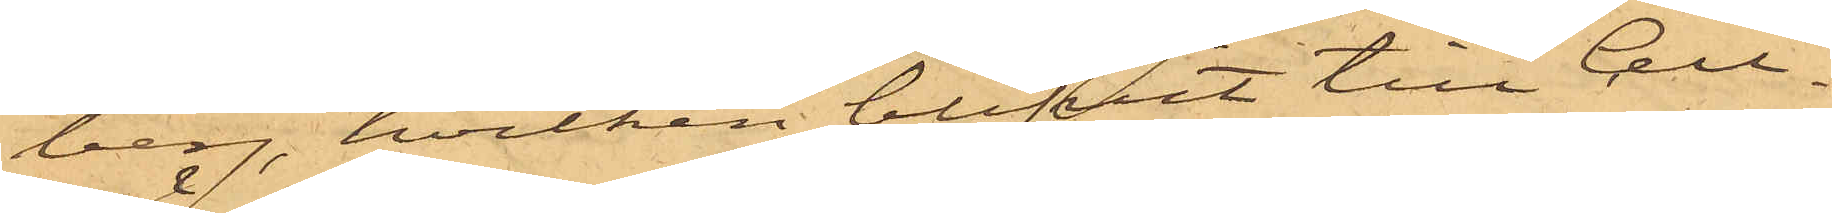berg, hvilken blifvit till Cell¬
